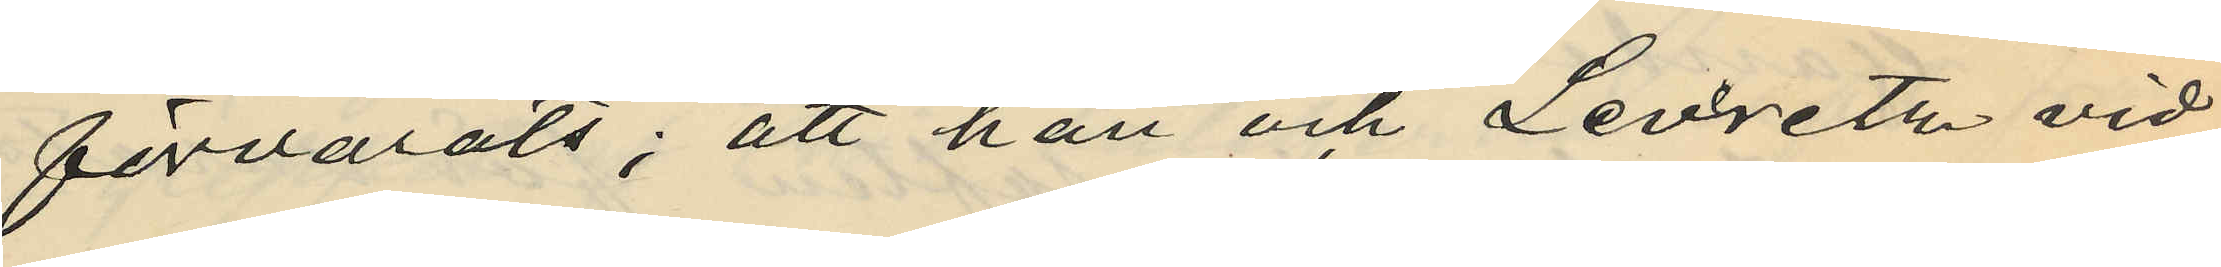förvarats; att han och Levrente vid
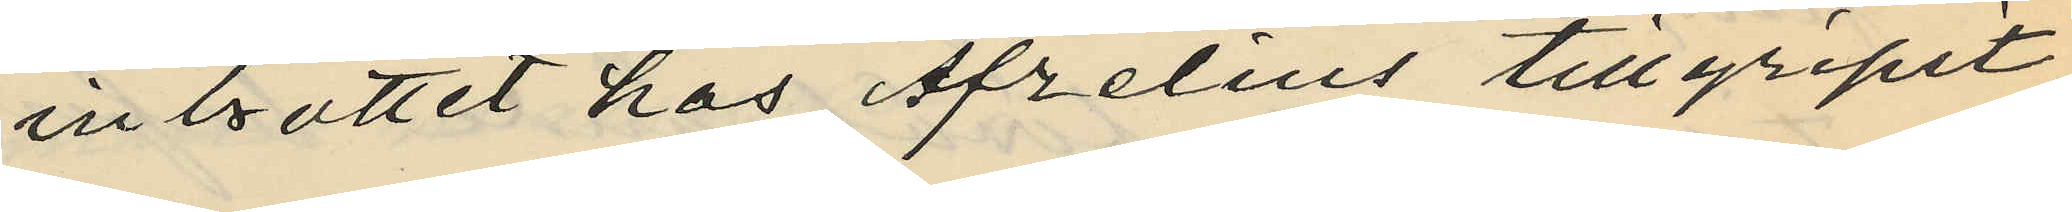inbrottet hos Afzelius tillgripit
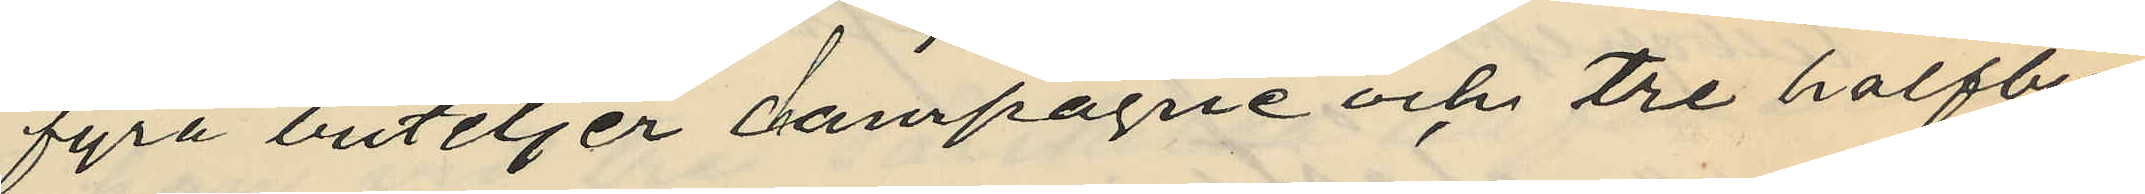fyra buteljer champagne och tre halfbu¬
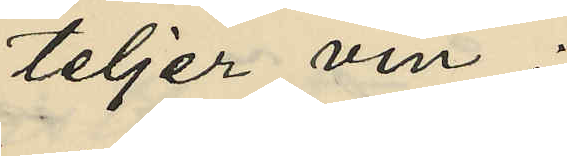teljer vin.
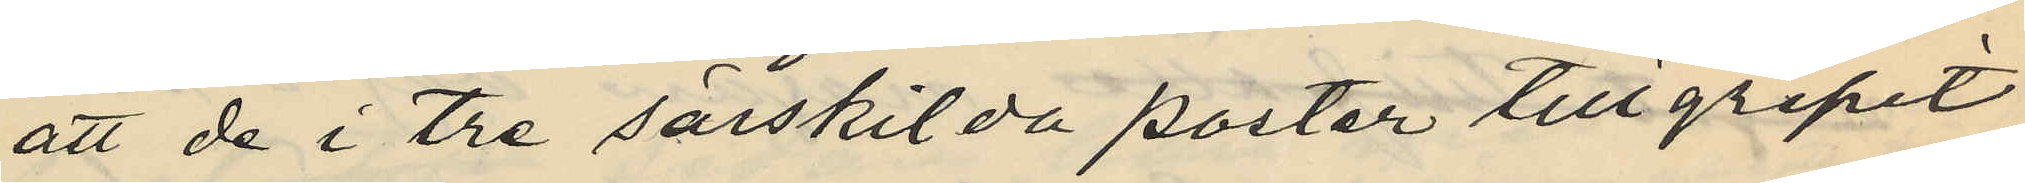att de i tre särskilda poster tillgripit
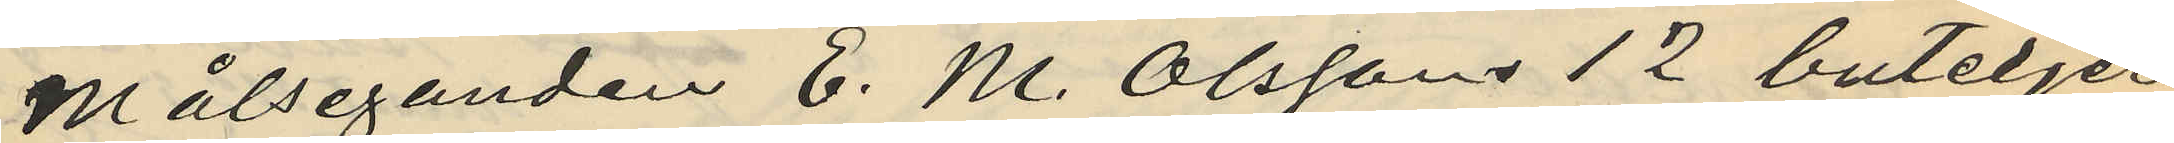Målseganden E. M. Olssons 12 buteljer
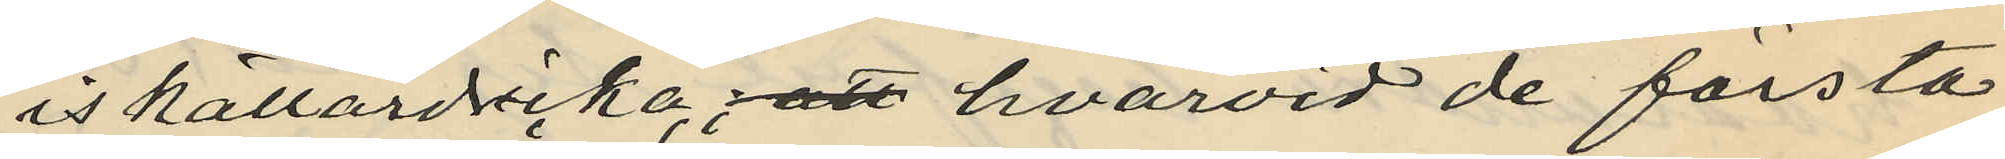iskällardricka; att hvarvid de första
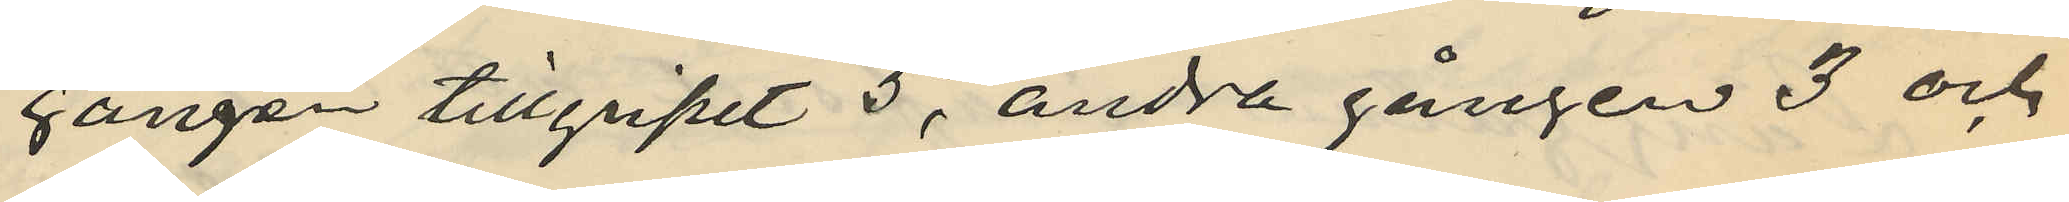gången tillgripit 5, andra gången 3 och
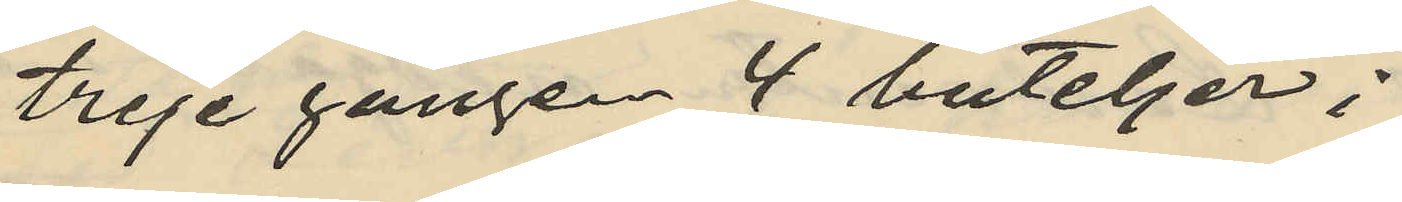treje gången 4 buteljer;
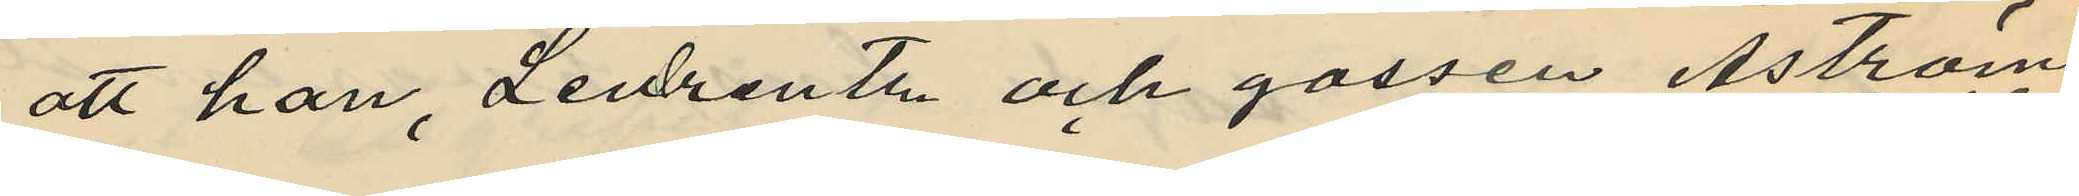att han, Levrantz och gossen Åström
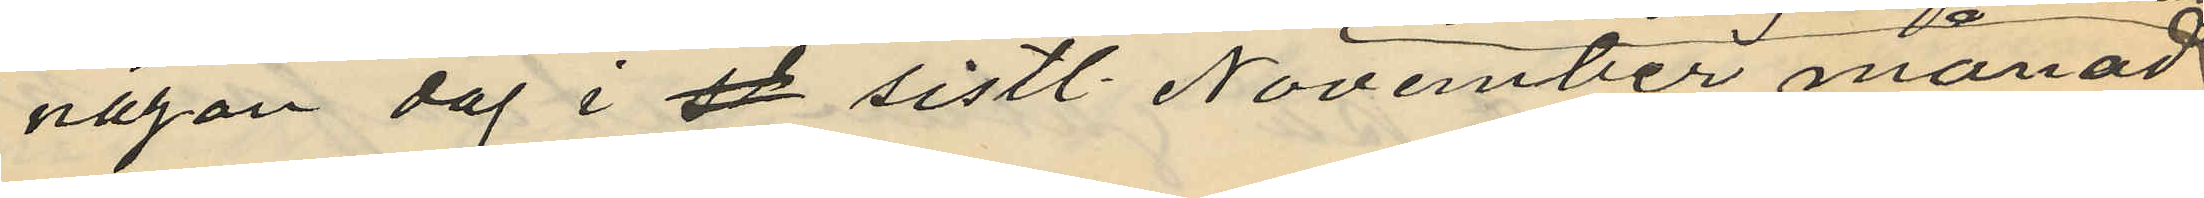någon dag i st sistl. November månad
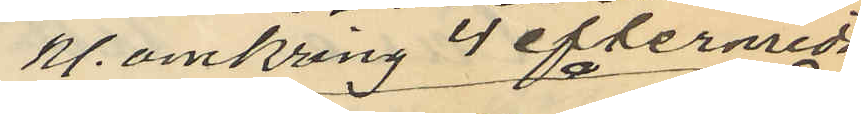kl. omkring 4 eftermidd
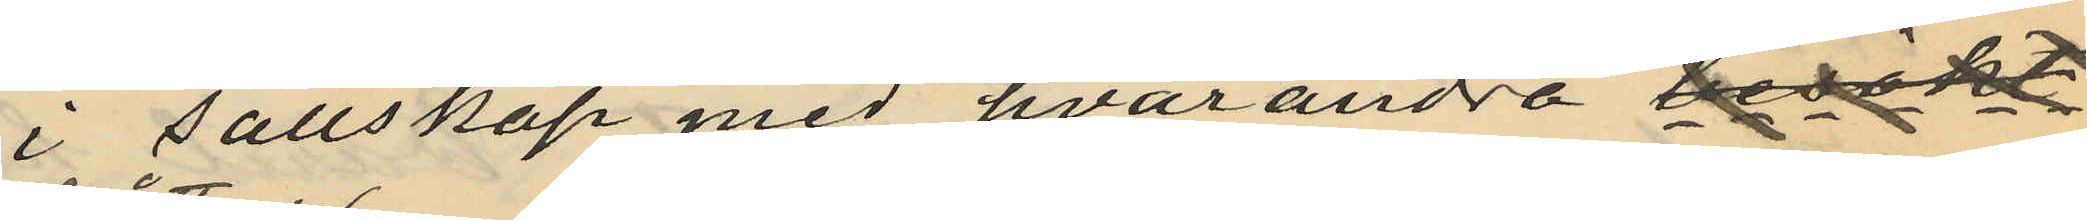i sällskap med hvarandra besökt
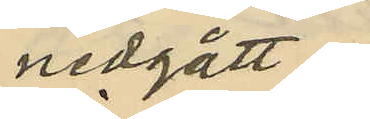nedgått i
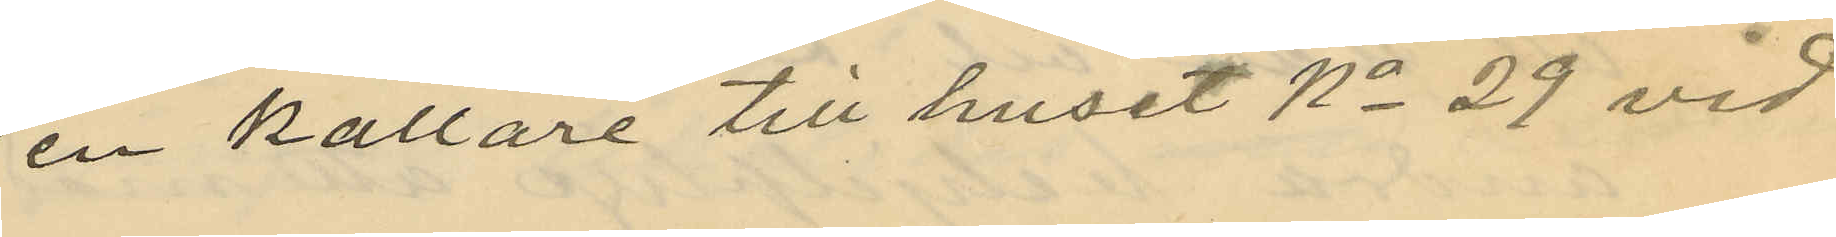en källare till huset No 29 vid
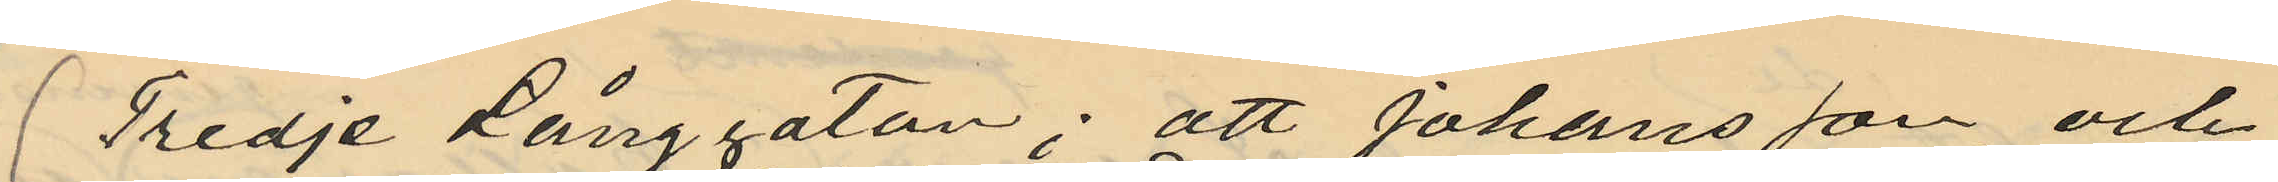Tredje Långgatan; att Johansson och
